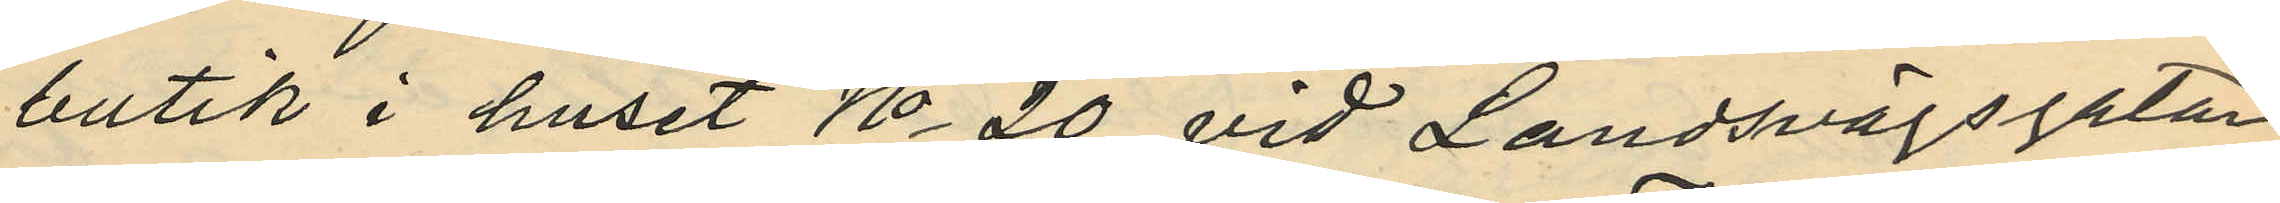butik i huset No 20 vid Landsvägsgatan,
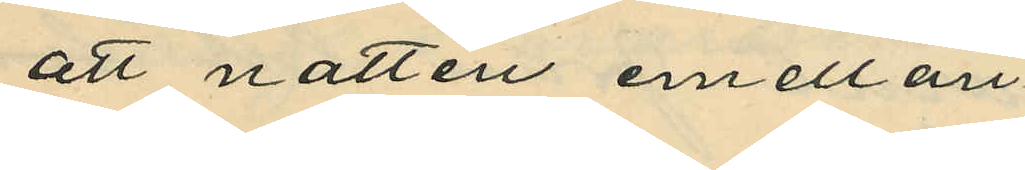att natten emellan
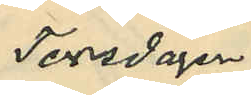Torsdagen
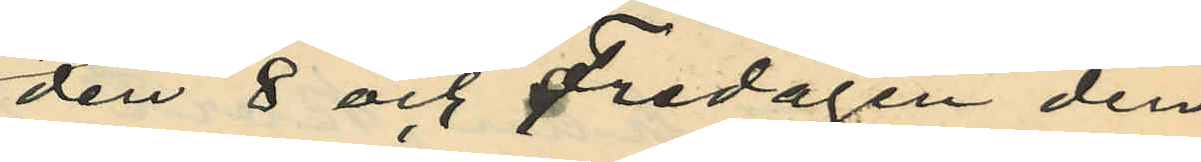den 8 och Fredagen den
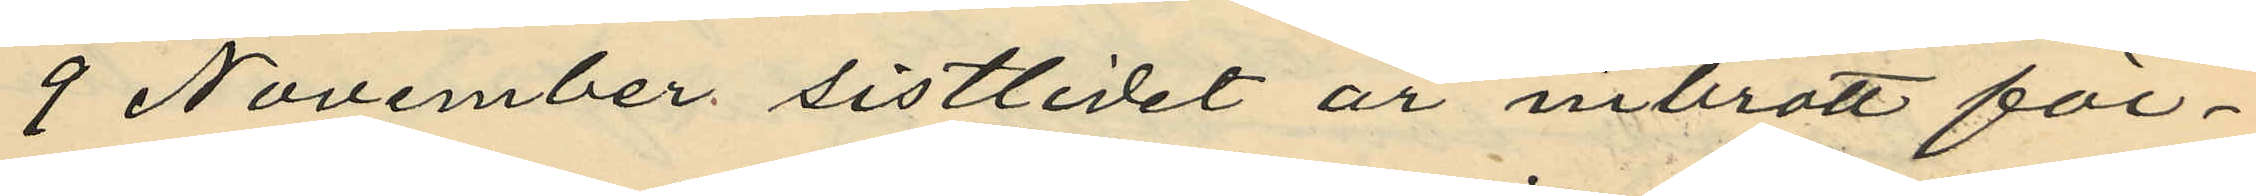9 November sistlidet år inbrott för¬
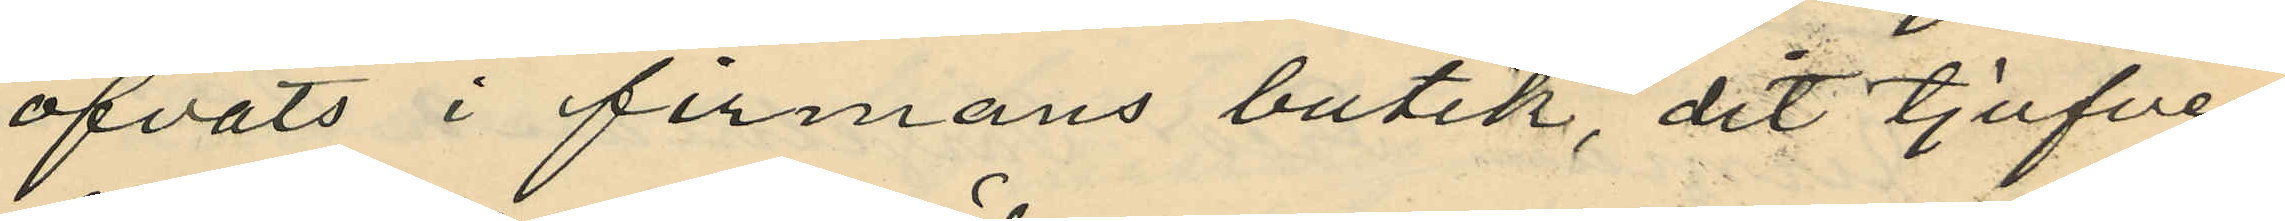öfvats i firmans butik, dit tjufven
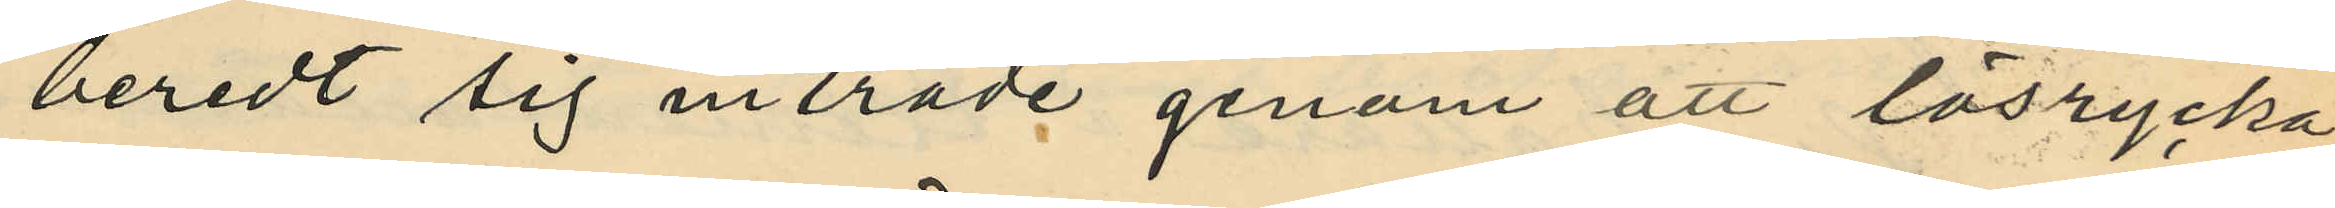beredt sig inträde genom att lösrycka
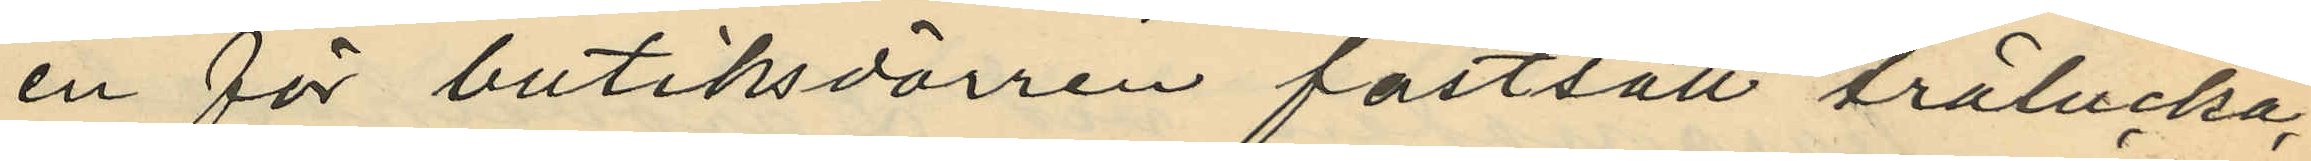en för butiksdörren fastsatt trälucka,
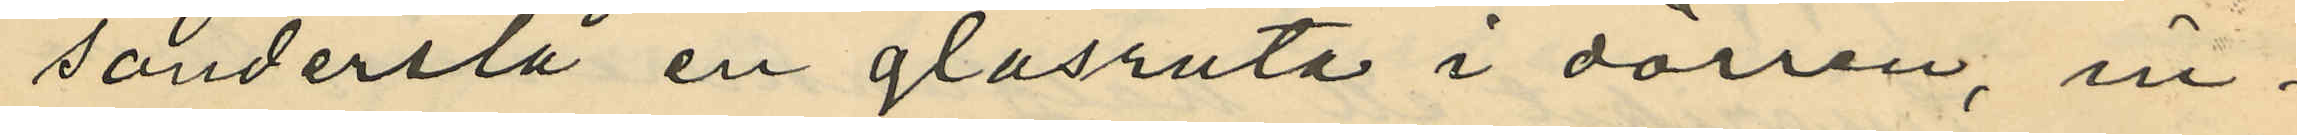sönderslå en glasruta i dörren, in¬
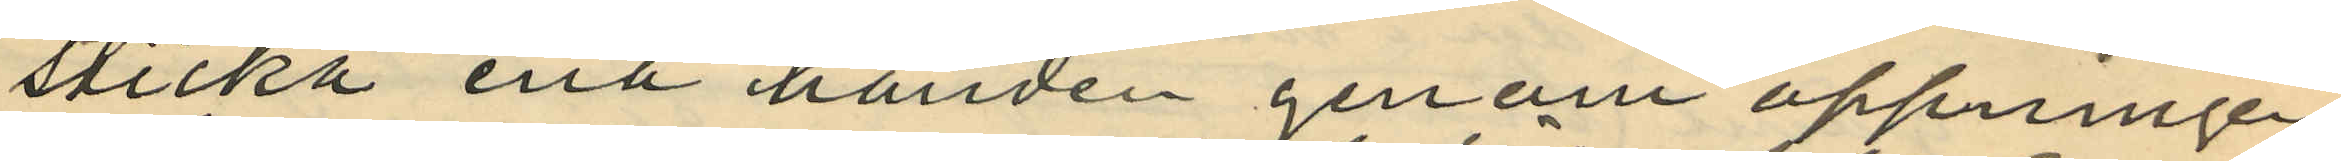sticka ena handen genom öppningen
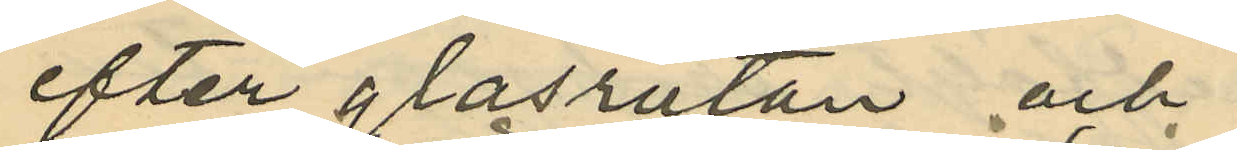efter glasrutan och
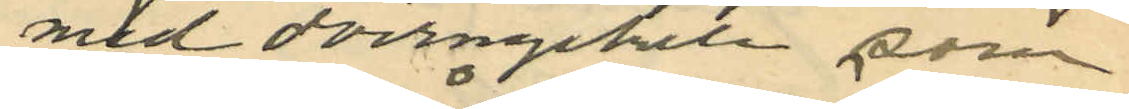med dörrnyckeln, som
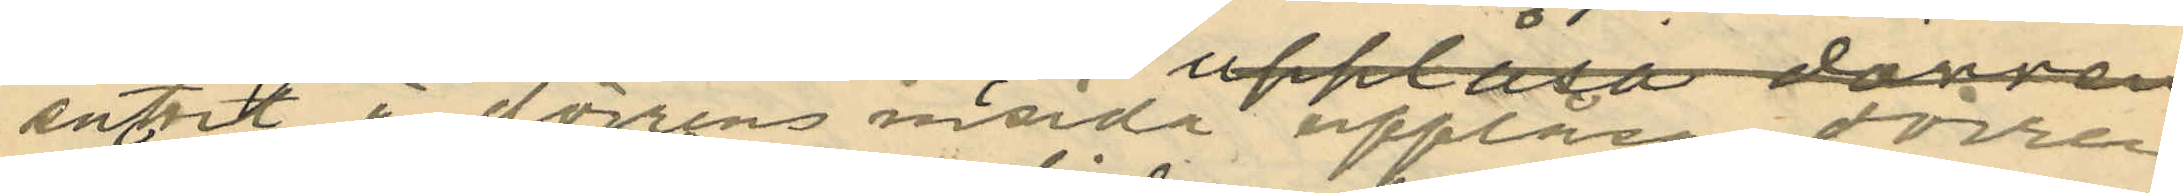suttit å dörrens insida upplåsa dörren
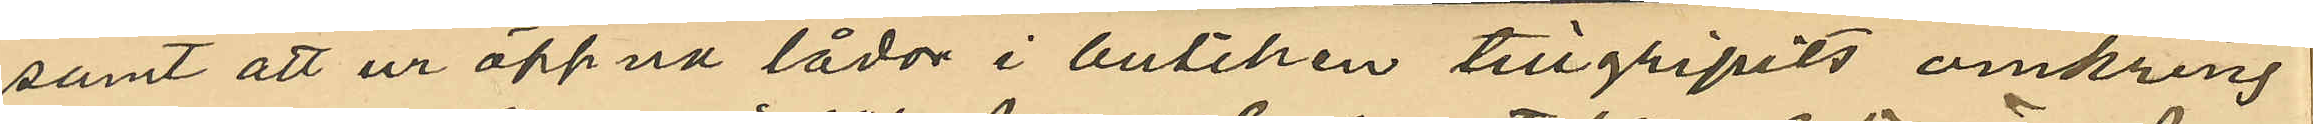samt att ur öppna lådor i butiken tillgripits omkring
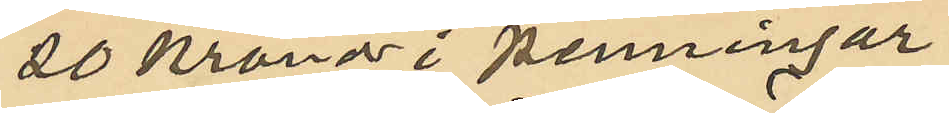20 kronor i penningar
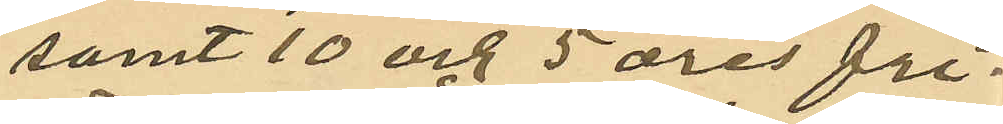samt 10 och 5 öres fri¬
